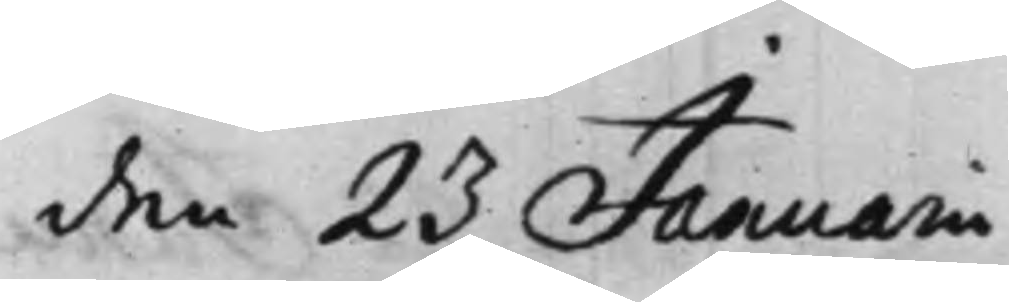den 23 Januarii
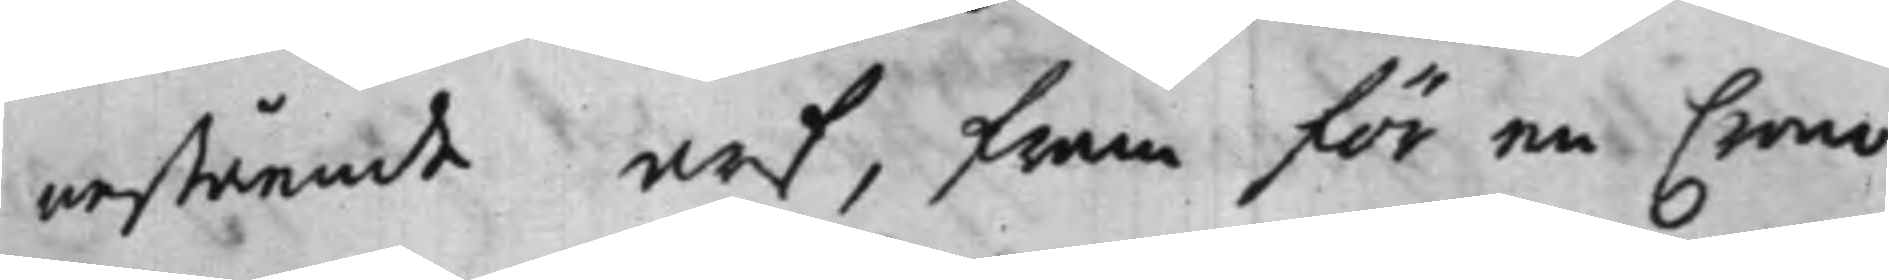nestående arf, fram för en Crono
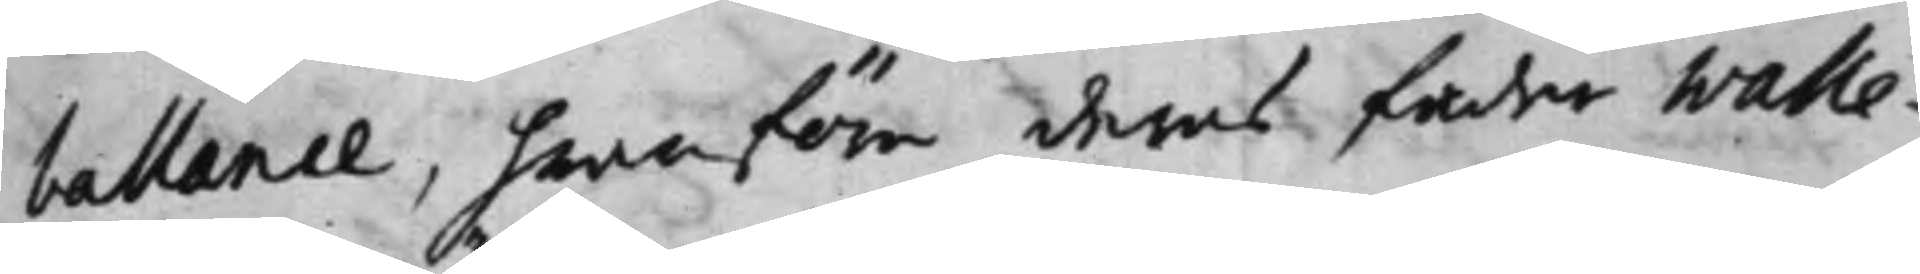ballance, hwarföre deras fader Walle¬
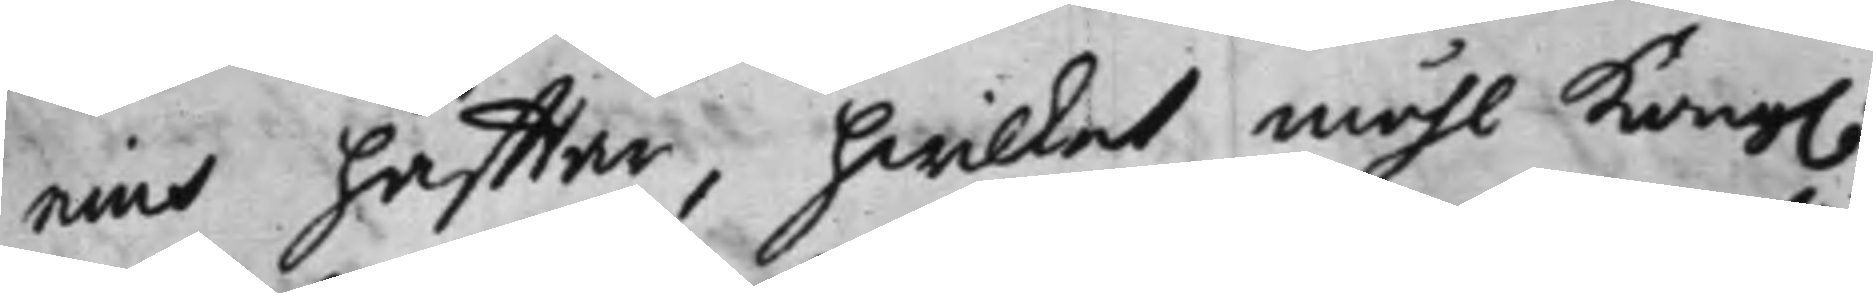nius häfftar, hwilket måhl Kong.
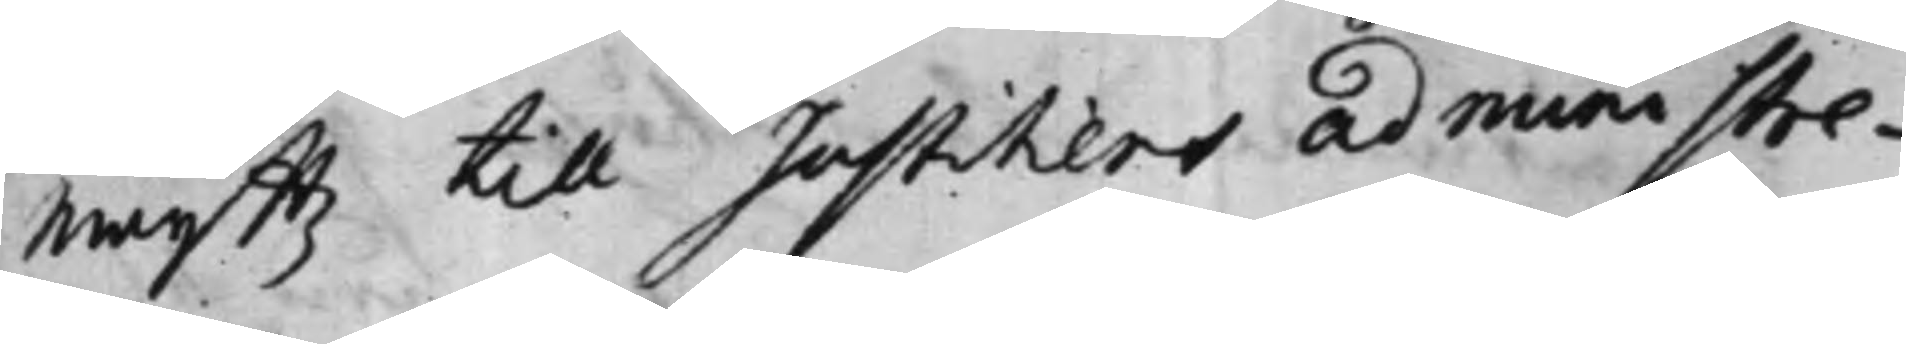Maijttz till Justitiens administre¬
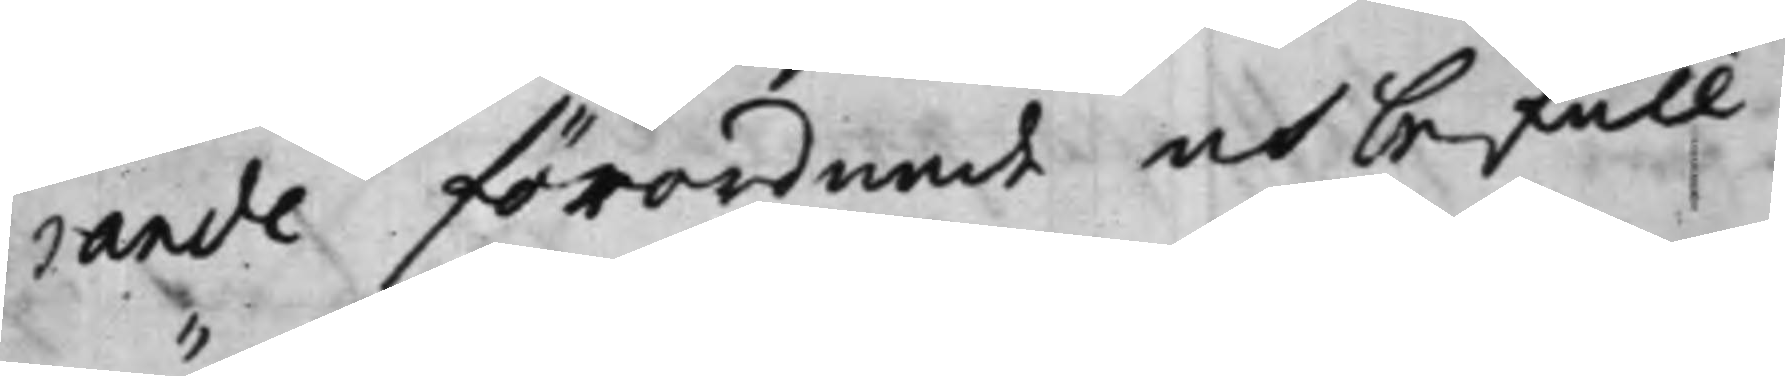rande förordnade och befull¬
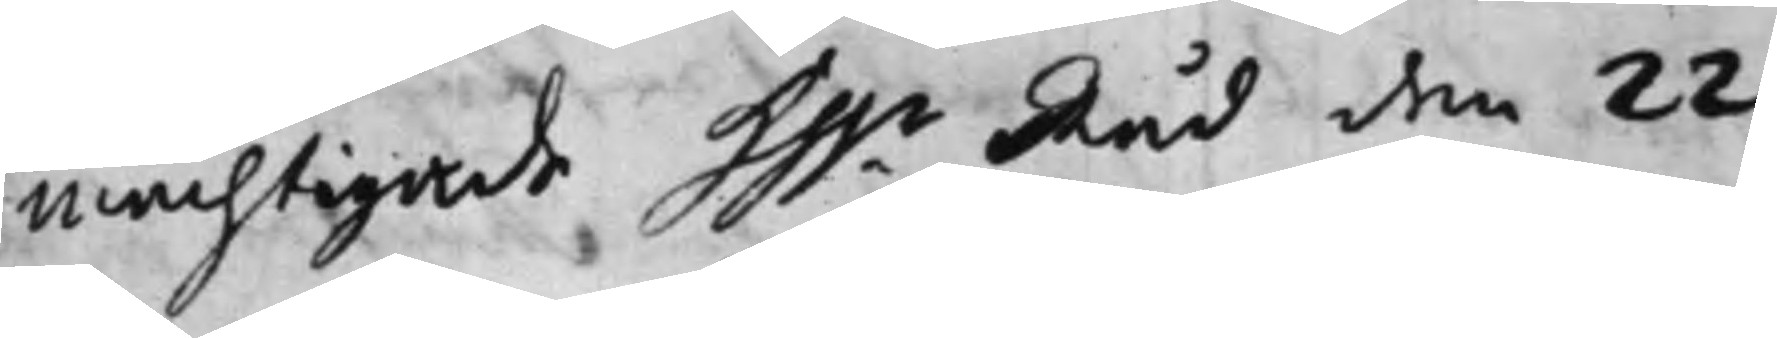mächtigade Hh.r Råd den 22
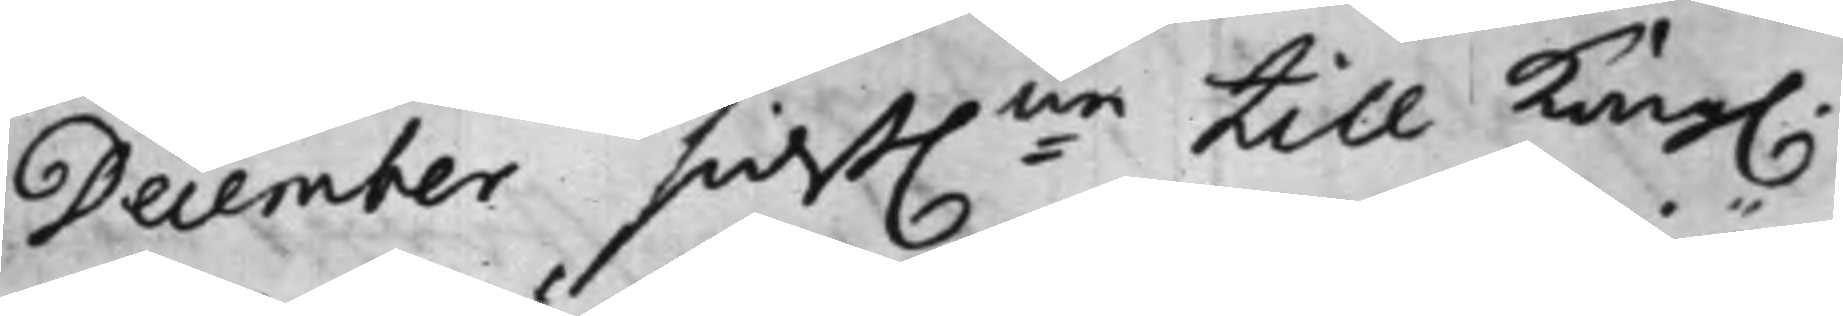December sidst:ne till Kong.
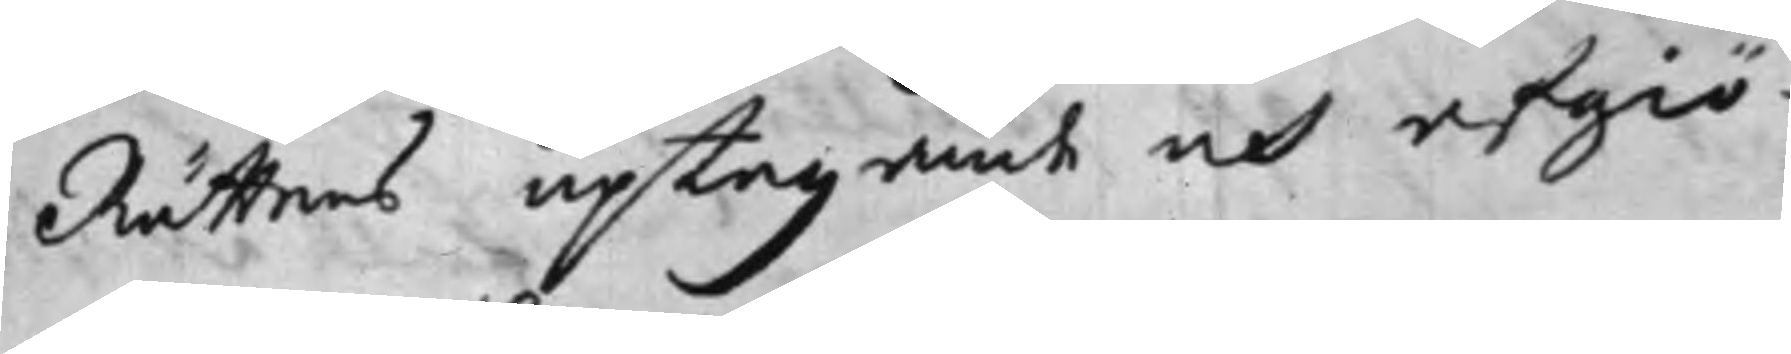Rättens uptagande och afgiö¬
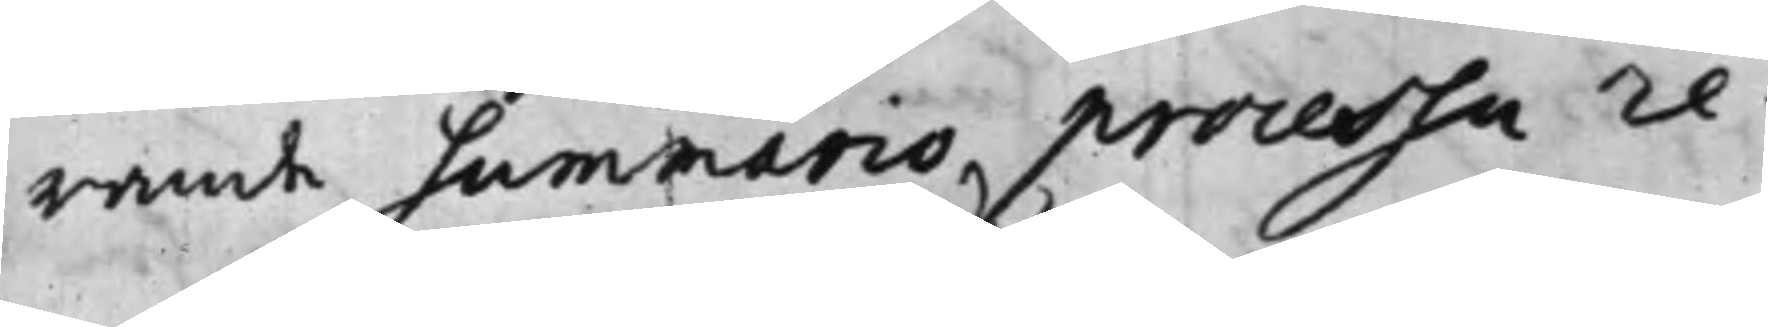rande Summario processa re¬
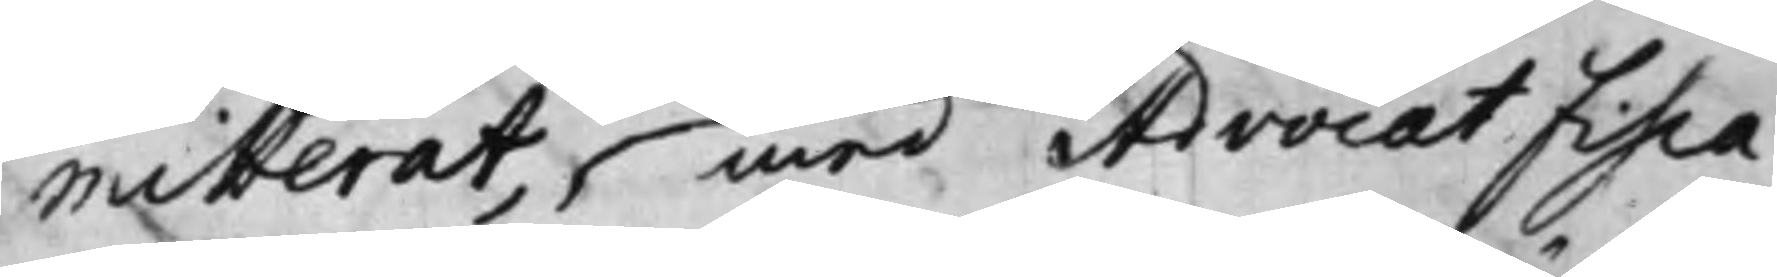mitterat, med Advocat Fisca¬
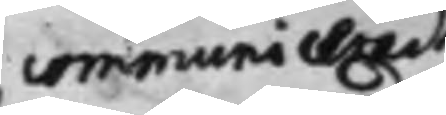communicerad
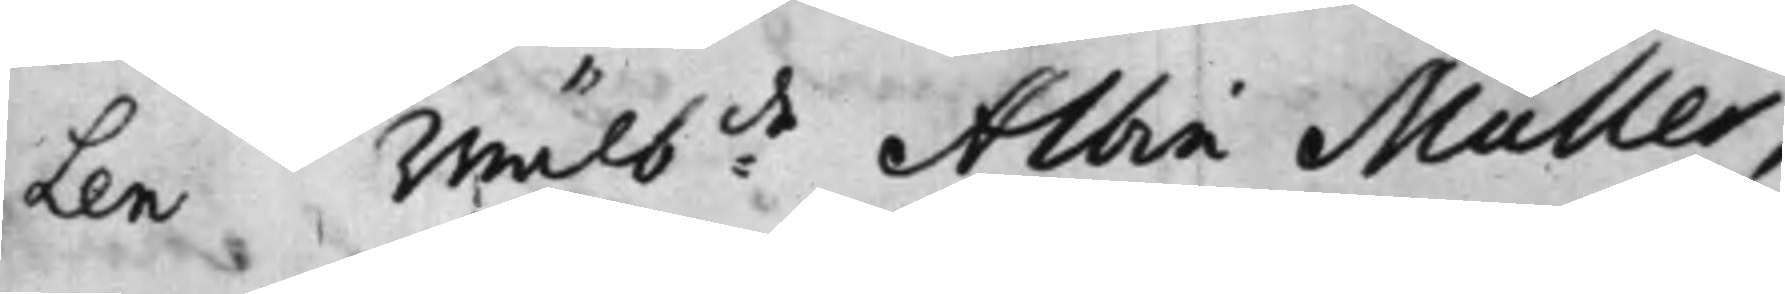Len Wälb:de Albin Müller,
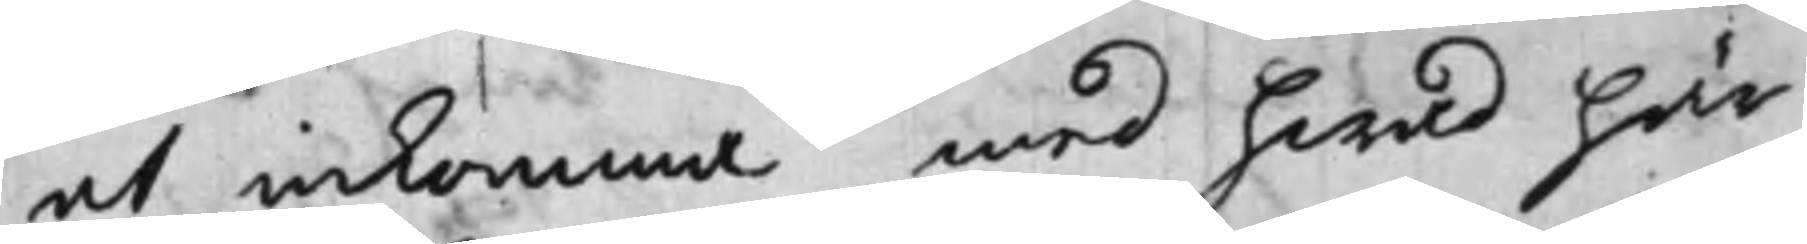at inkomma med hwad här¬
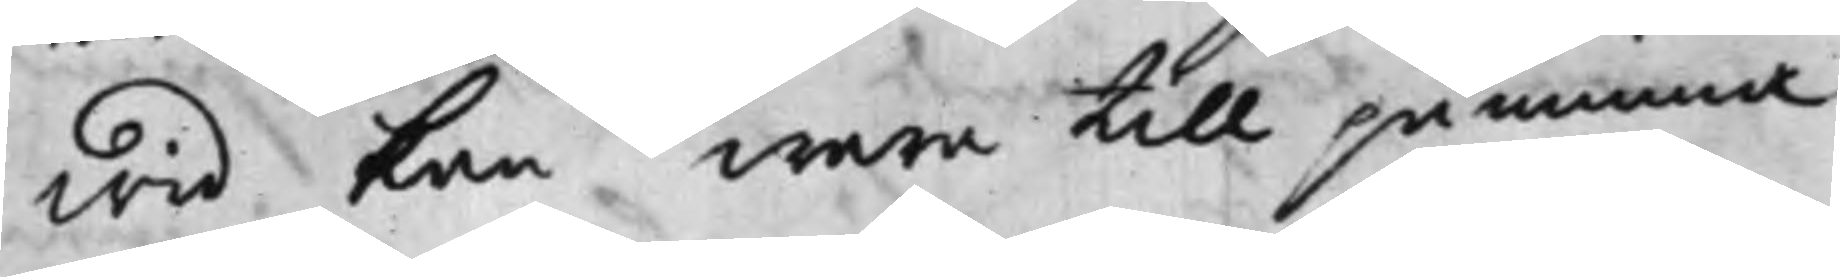wid kan wara till påminna.
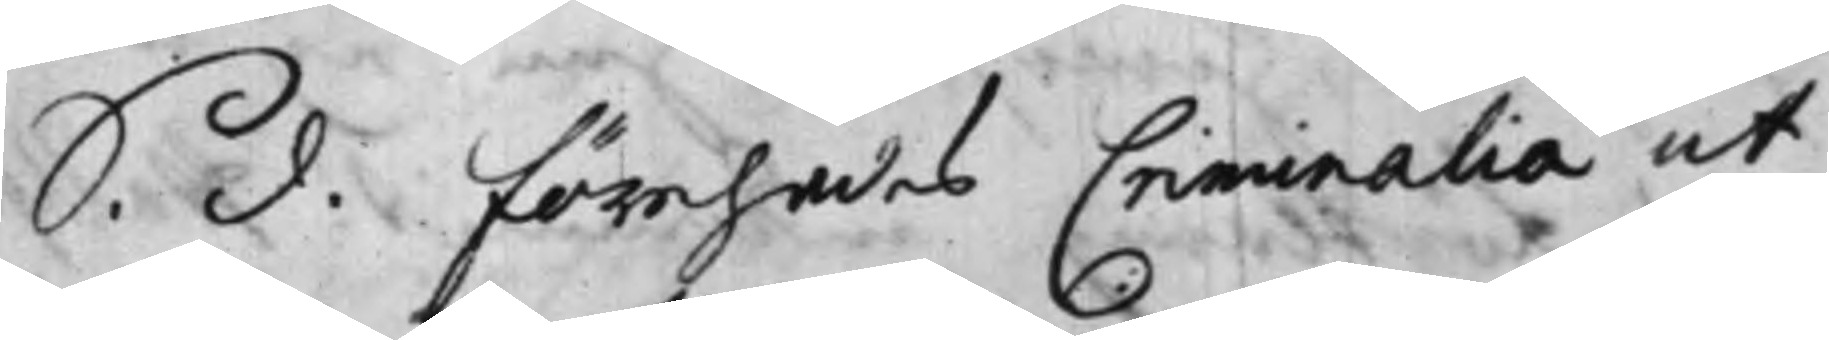S. d. förehades Criminalia ut
